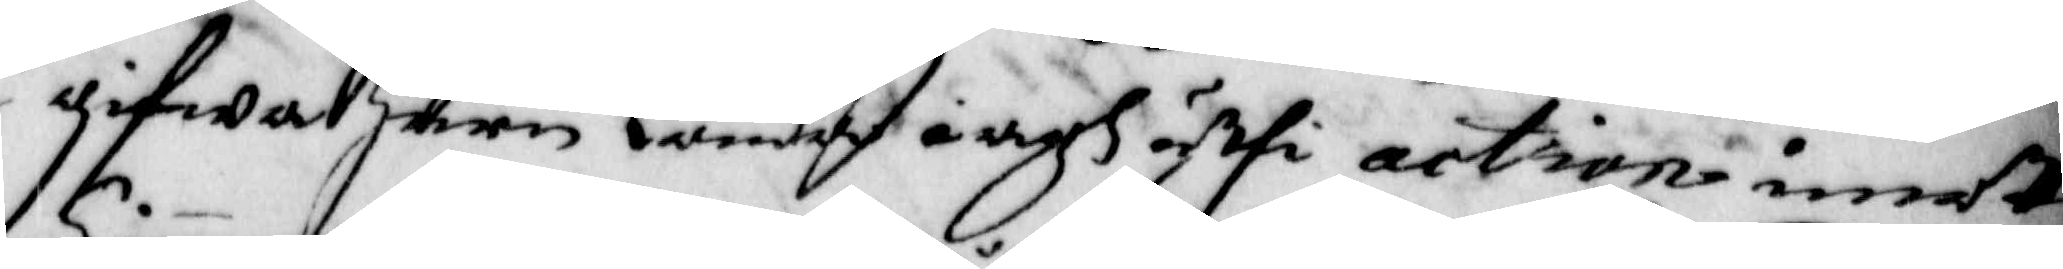gifwa huru lunda iagh uthi action imott
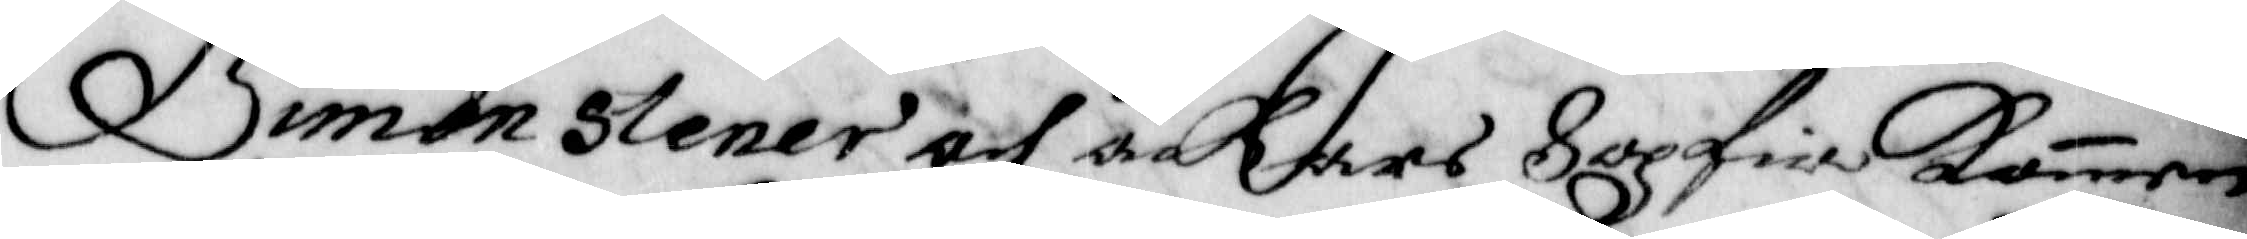Simon Stener och Åckare Sopfia Kommen
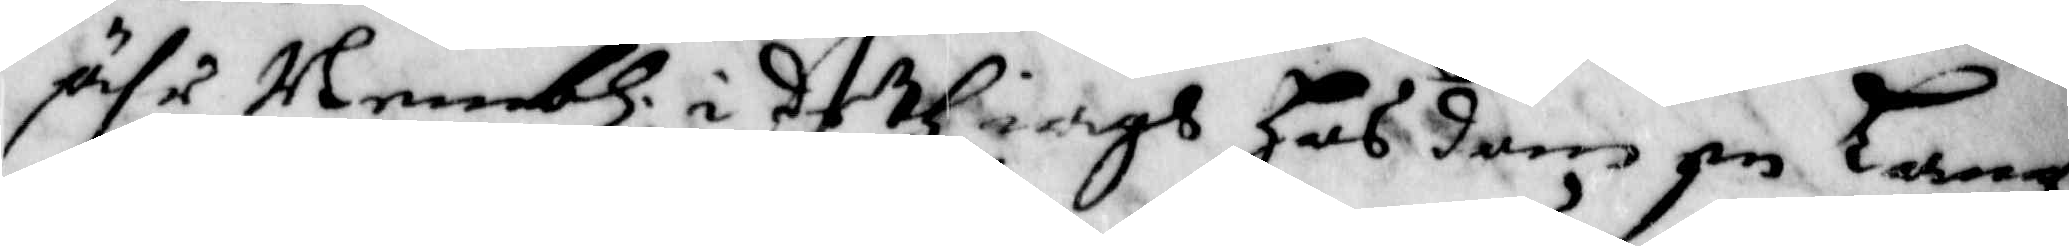ähr Nembl: i deth iagh hos dem en Lang¬
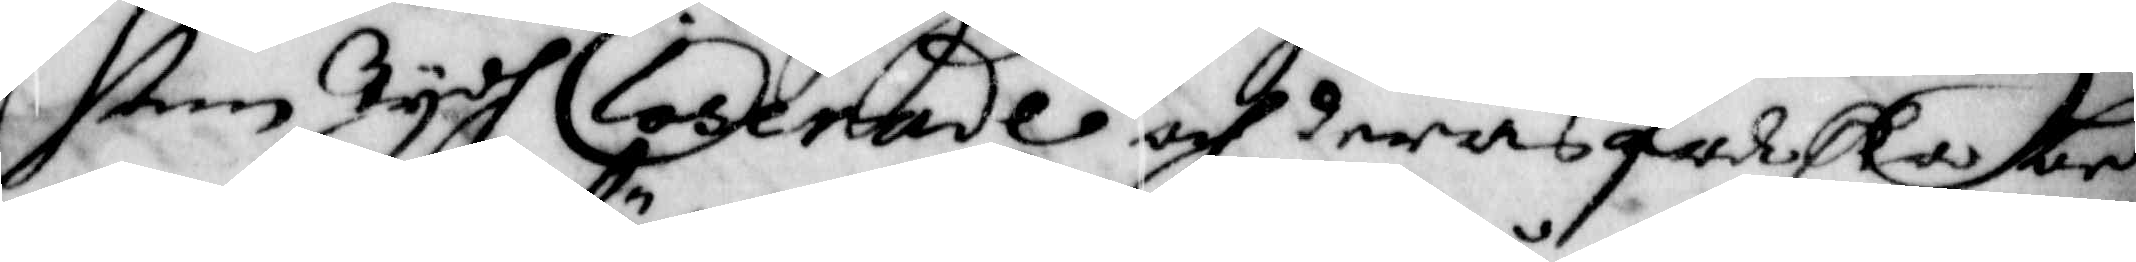sam Tijdh logerade och deras falska be¬
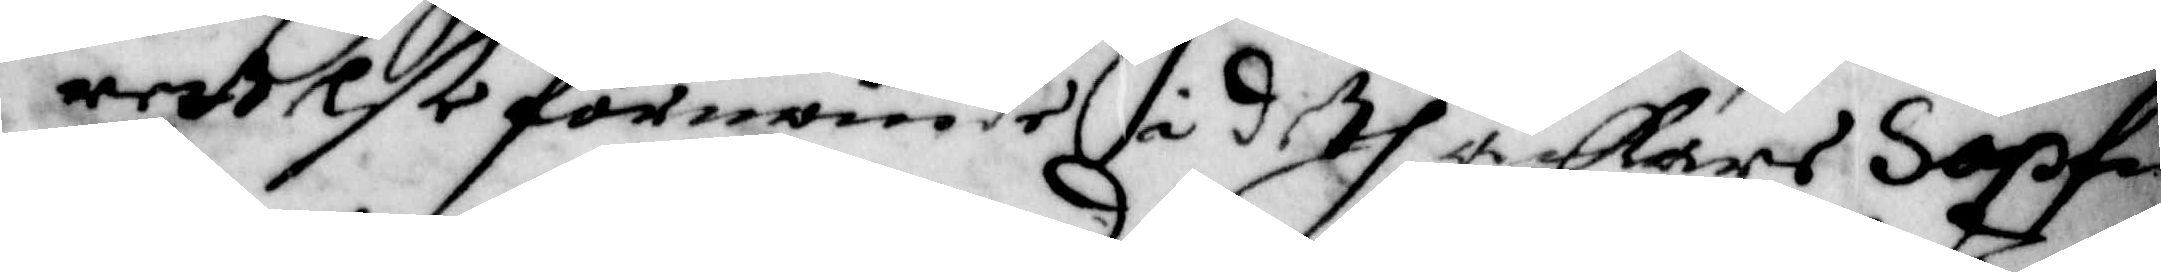rettelse förnemmde i deth Åkare Sopfi
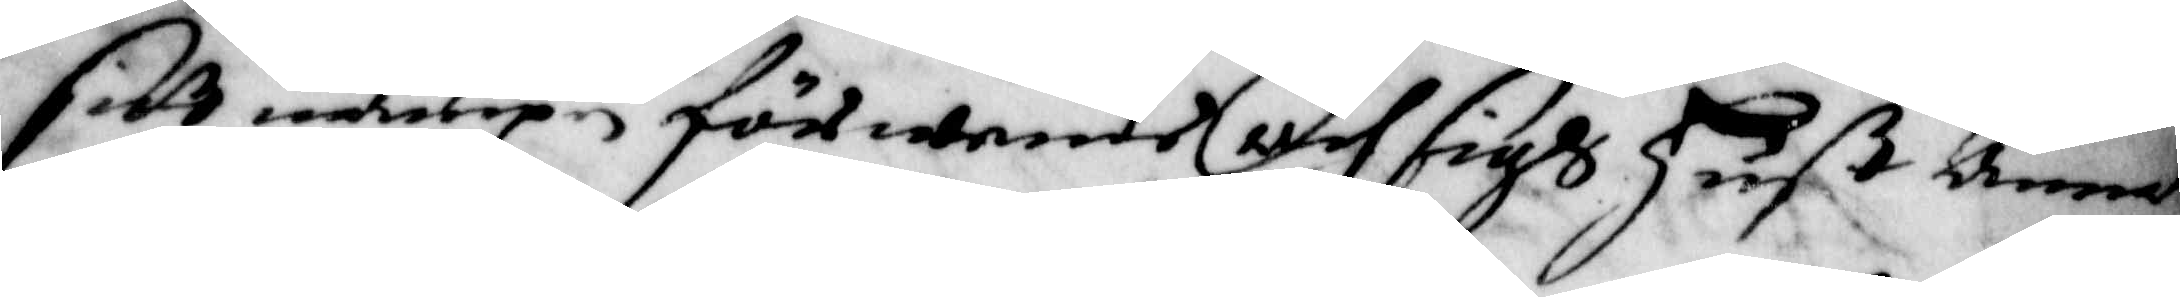sitt nampn förwende och sigh Huß Anna
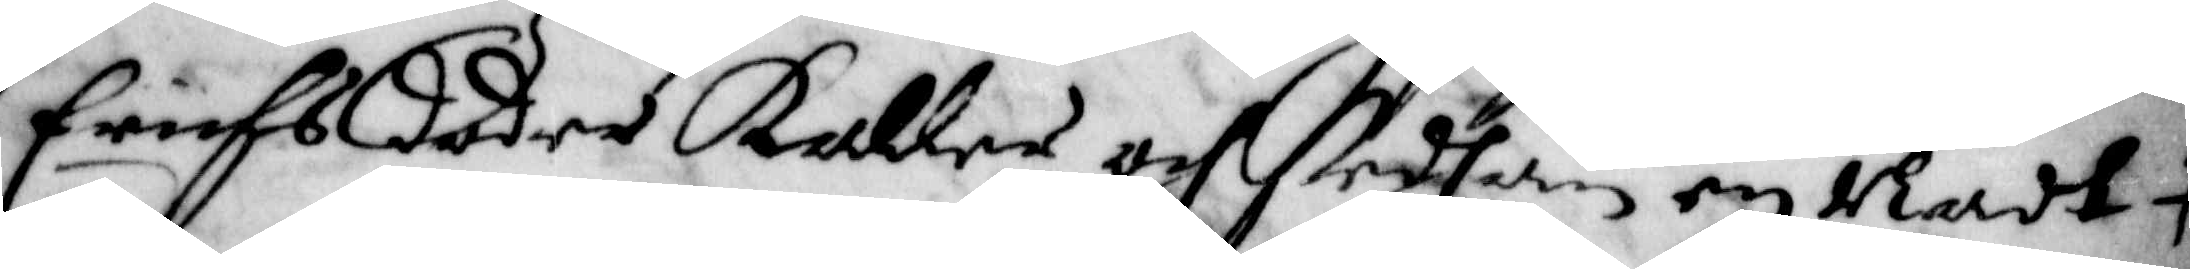Erichs dotter Kaller och sedhan en Nadt
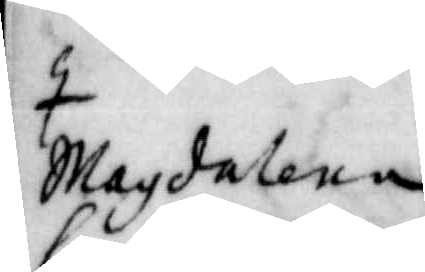Magdalena
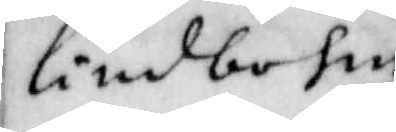Lindbohm
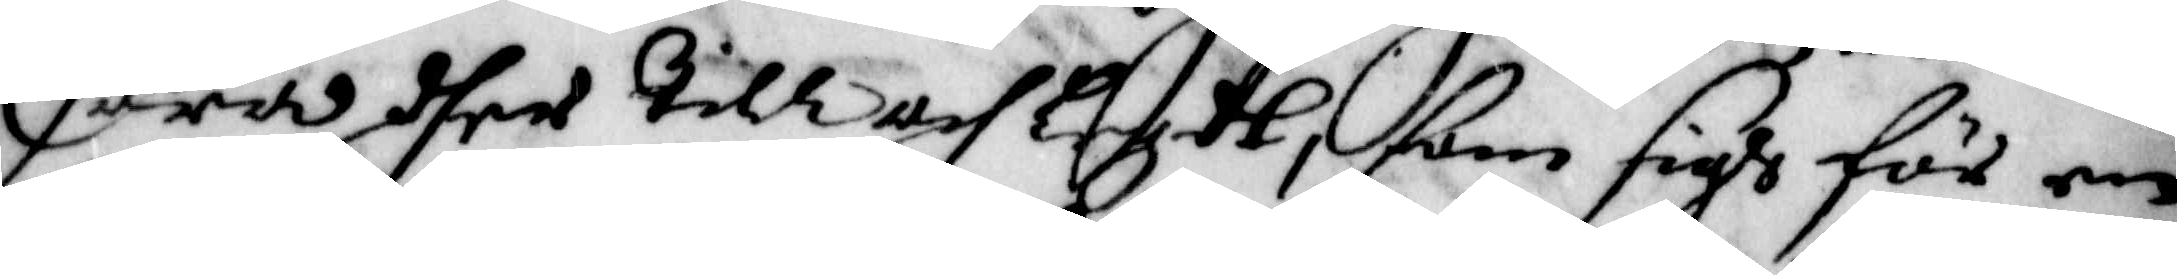hawa dher till och Lagt fram sigh för en
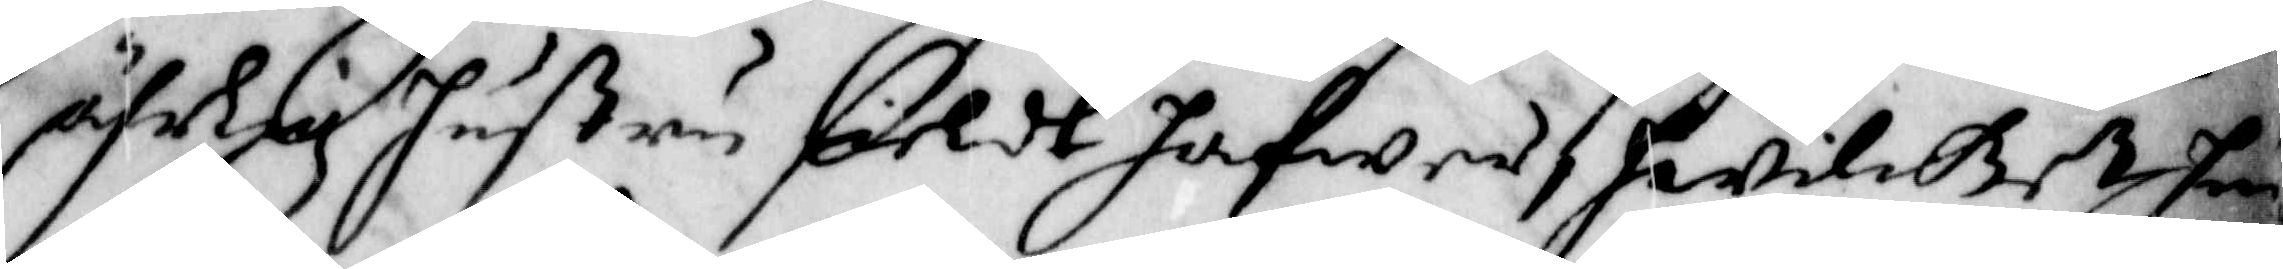ährlig Hustru sieldt hafwer, hwilcket hon
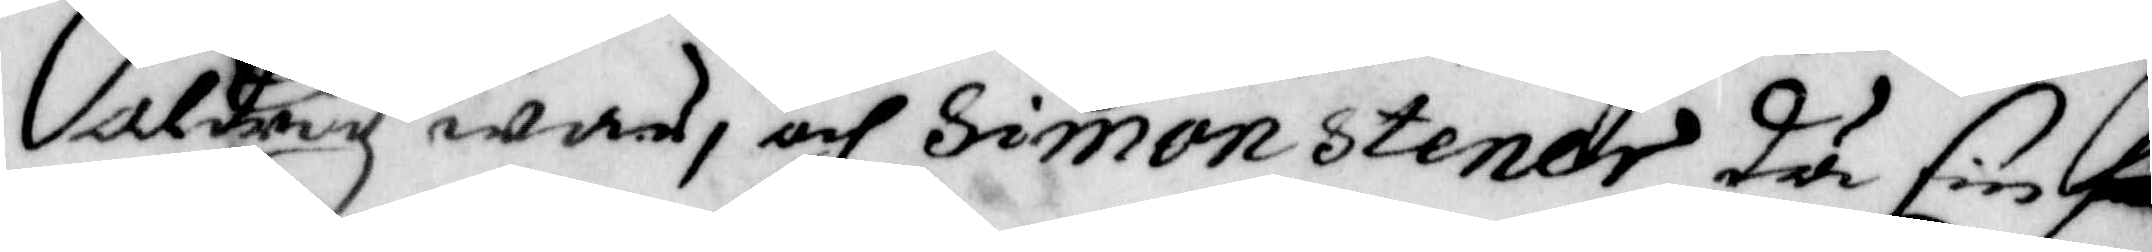aldrig war, och Simon Stener då sin frilla
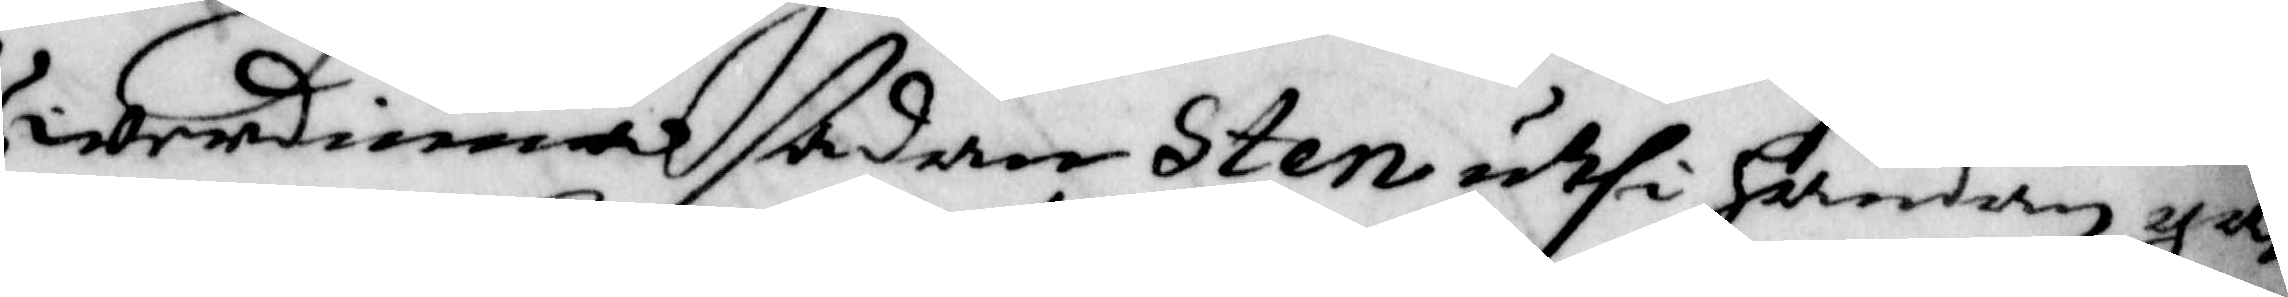Werdinna sådan Sten uthi handen gaf
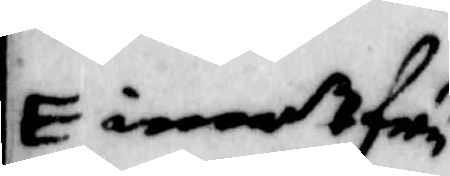imot fru
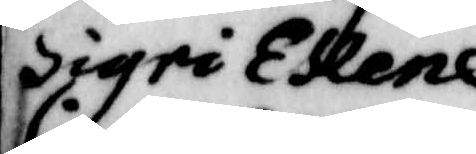Sigri Eken¬
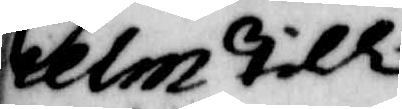hielm till
